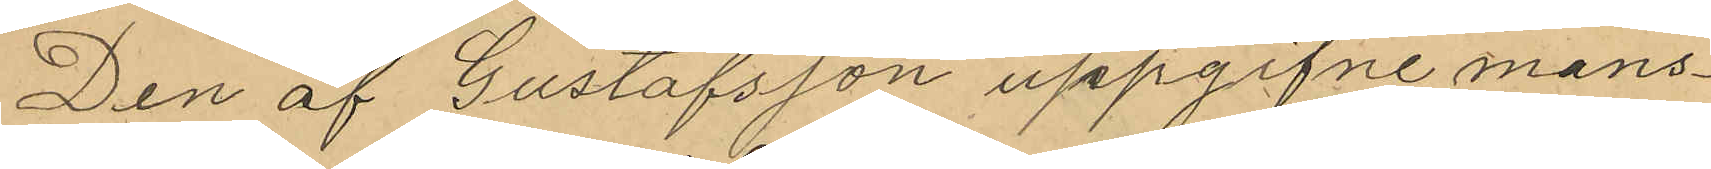Den af Gustafsson uppgifne mans¬
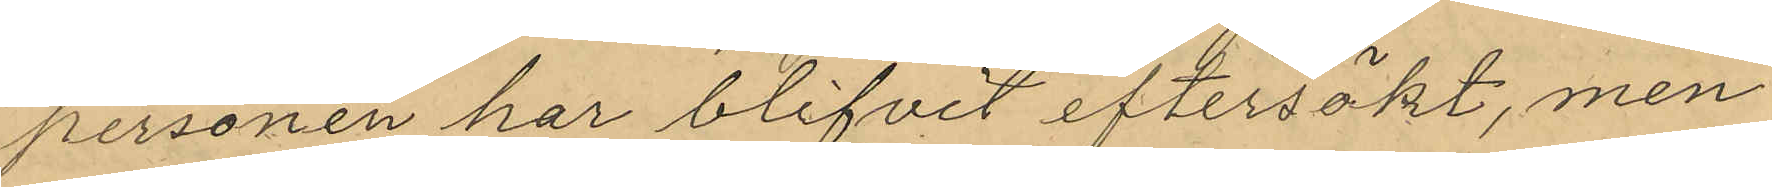personen har blifvit eftersökt, men
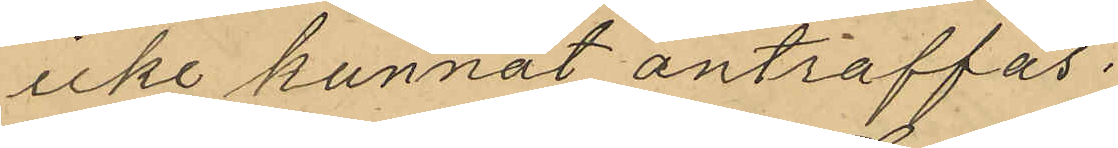icke kunnat anträffas.
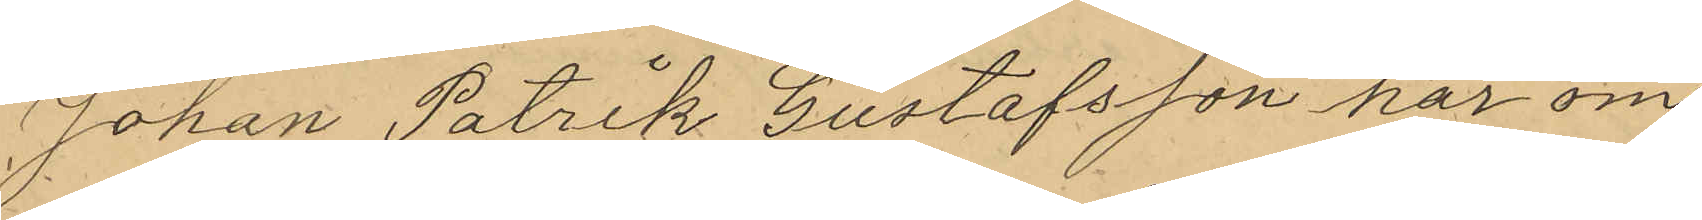Johan Patrik Gustafsson har om
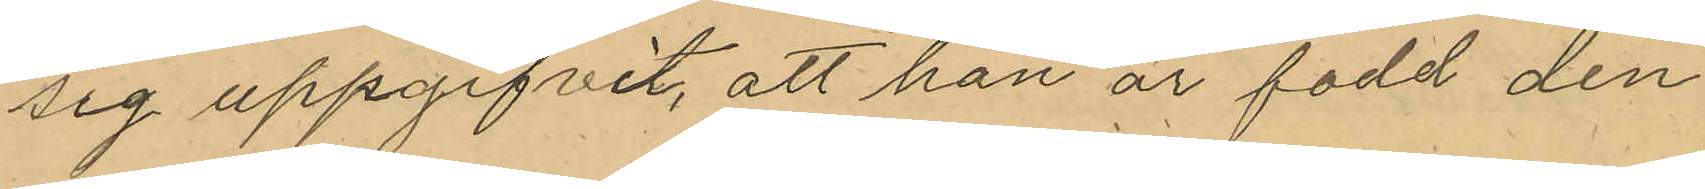sig uppgifvit, att han är född den
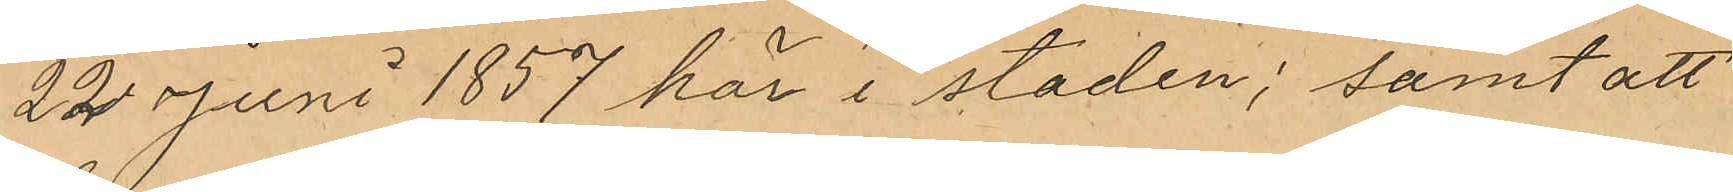22 Juni 1857 här i staden; samt att
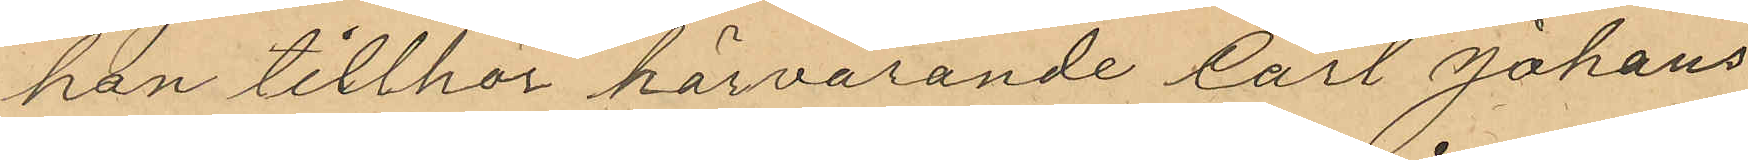han tillhör härvarande Carl Johans
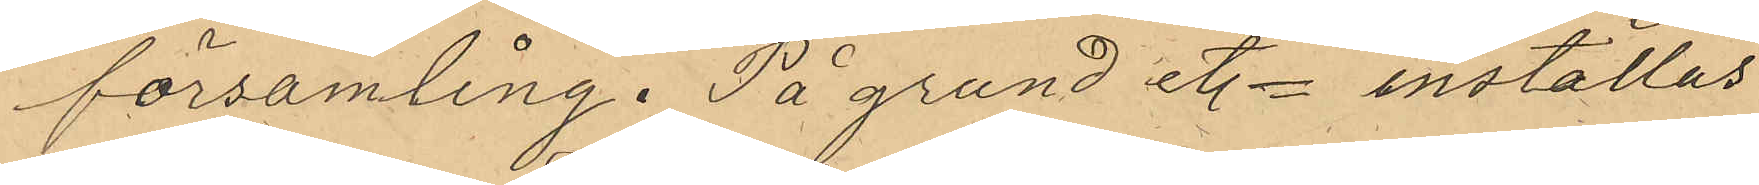församling. På grund et. = inställas
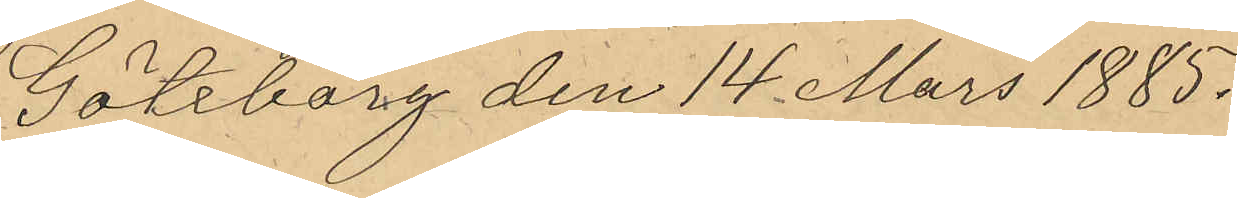Göteborg den 14 Mars 1885.
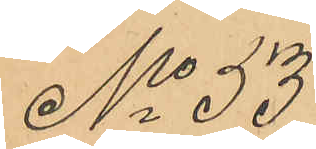No 53
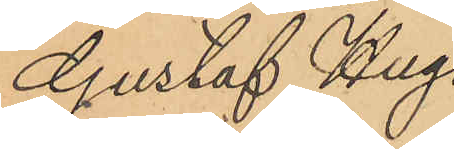Gustaf Hugo
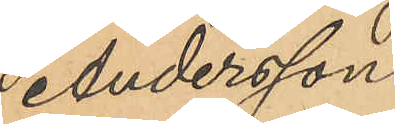Andersson
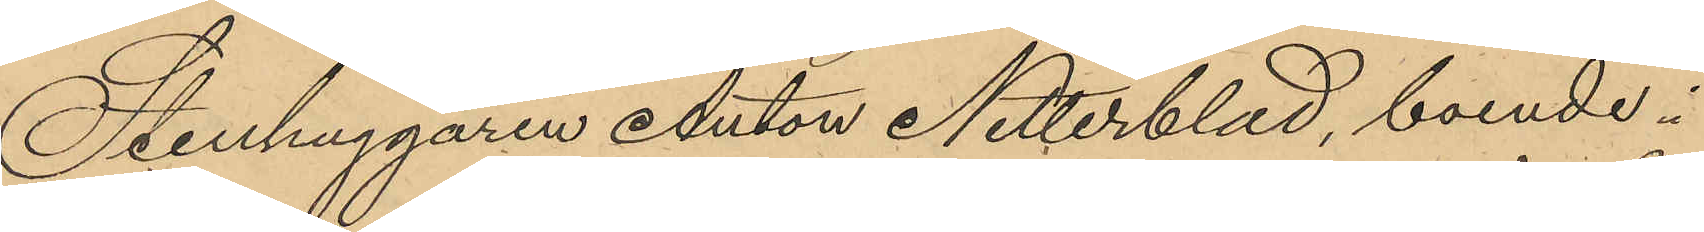Stenhuggaren Anton Netterblad, boende i
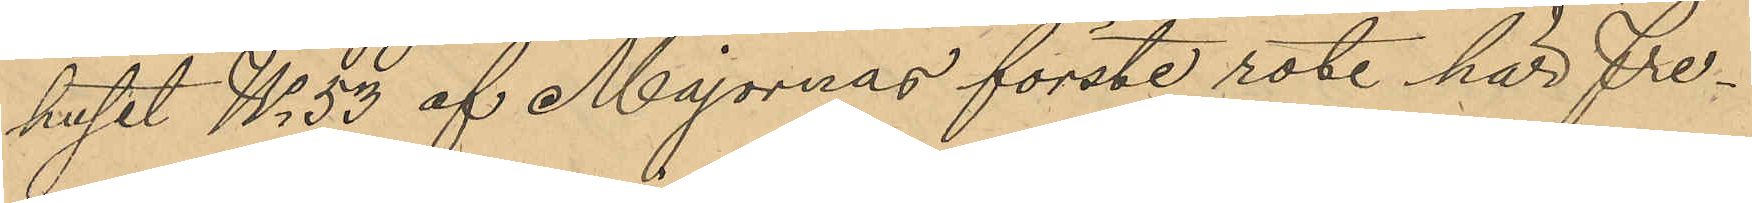huset No 53 af Majornas förste rote här Fre¬
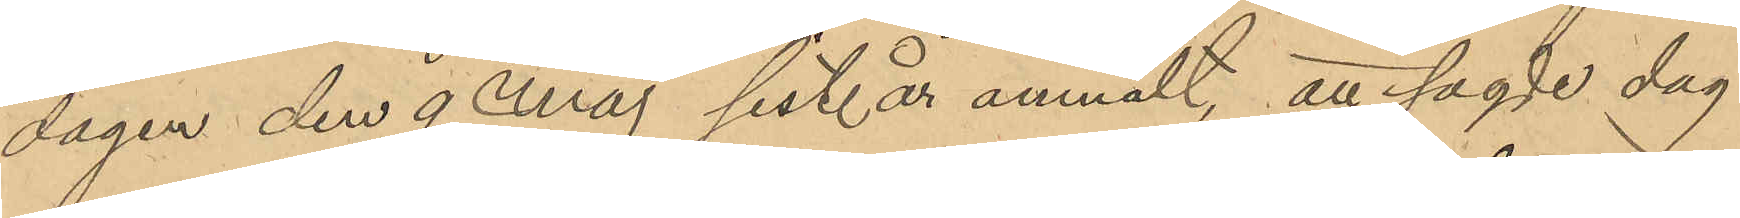dagen den 9 Maj sist. år anmält, att sagde dag
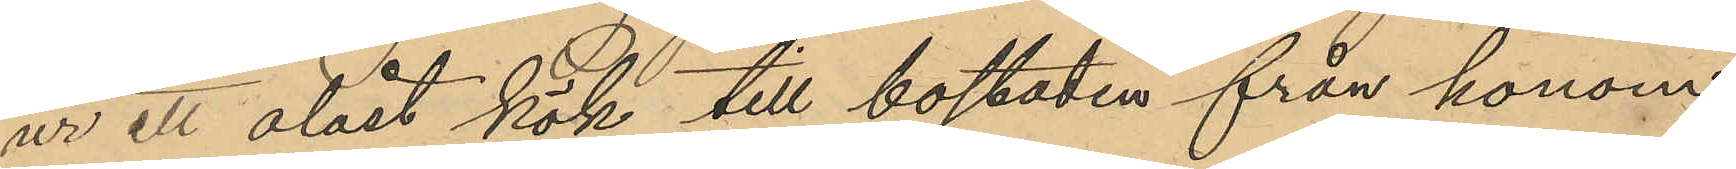ur ett olåst kök till bostaden från honom
